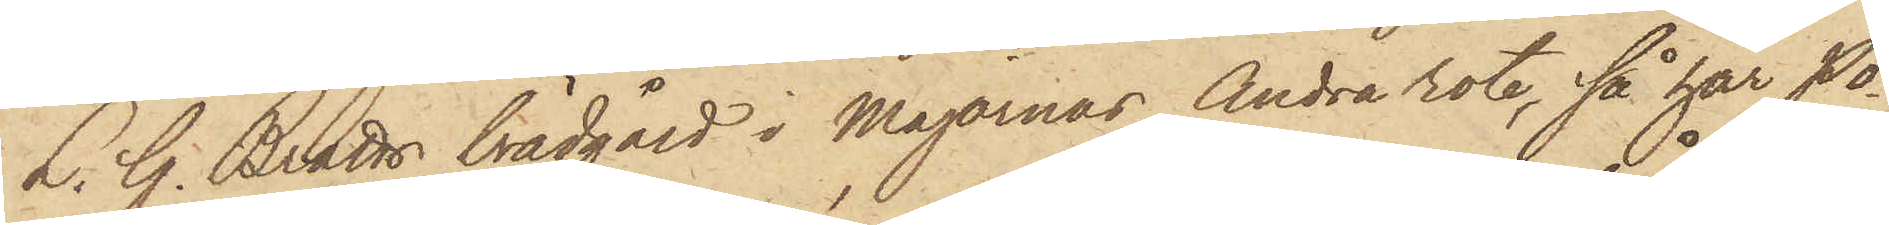L. G. Bratts brädgård i Majornas Andra rote, så har Po¬
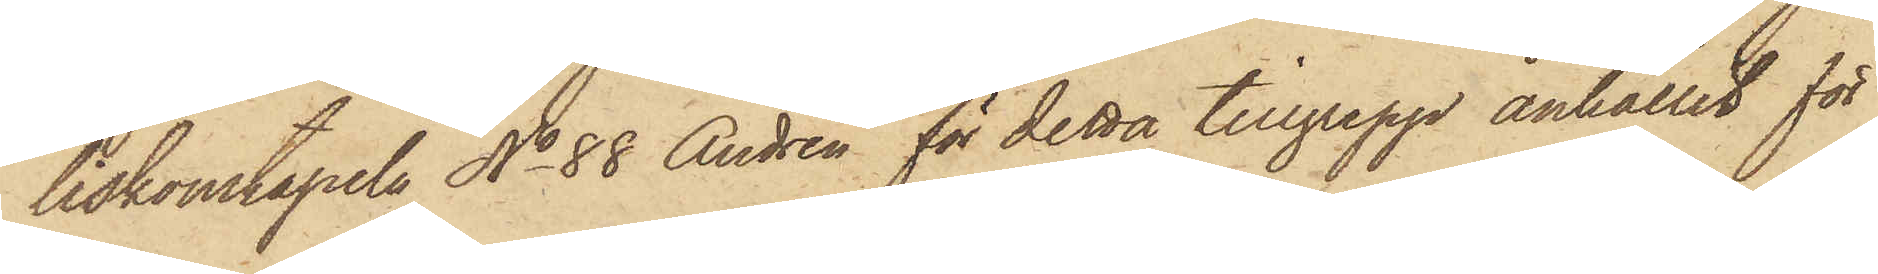liskonstapeln No 88 Andrén för detta tillgrepp anhållit för
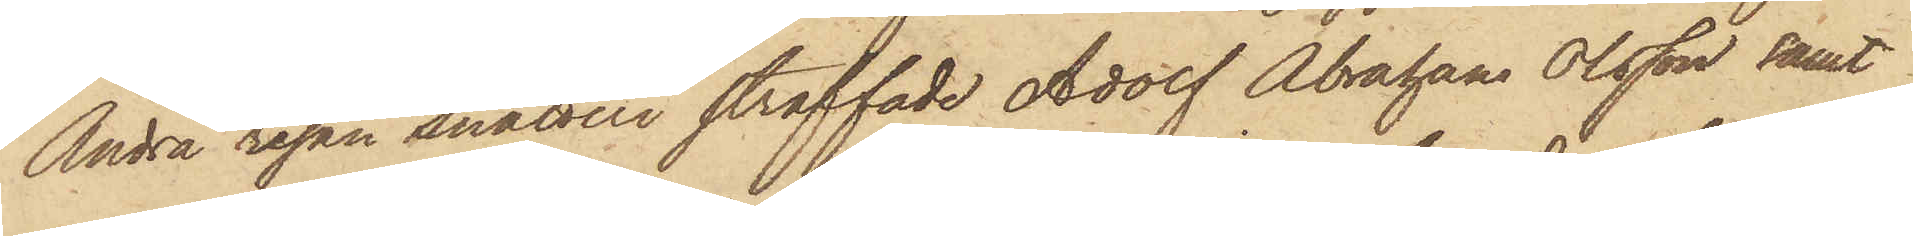Andra resan snatteri straffade Adolf Abraham Olsson samt
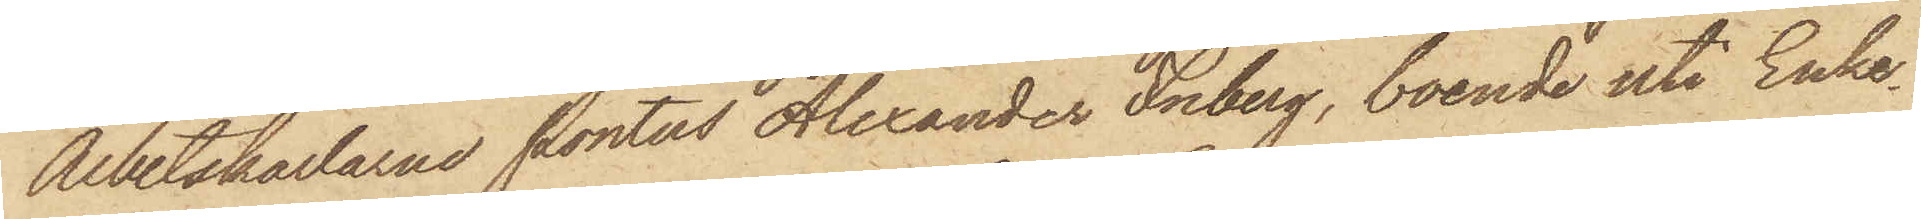Arbetskarlarne Pontus Alexander Friberg, boende uti Enke¬
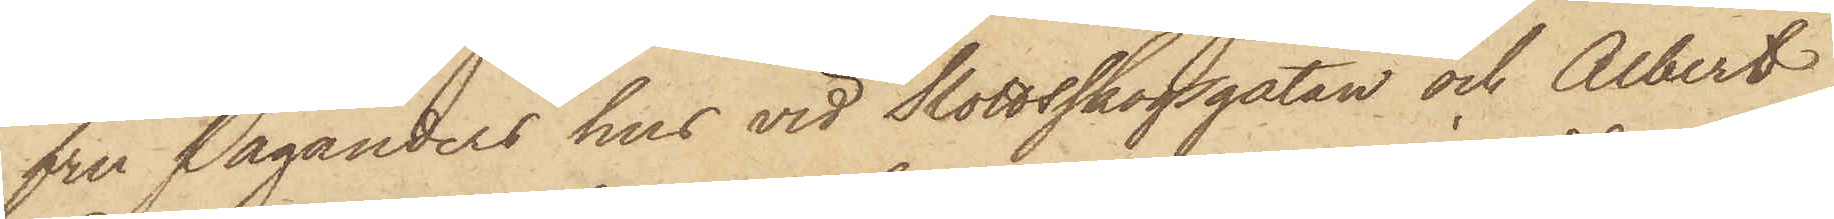fru Paganders hus vid Slottsskogsgatan och Albert
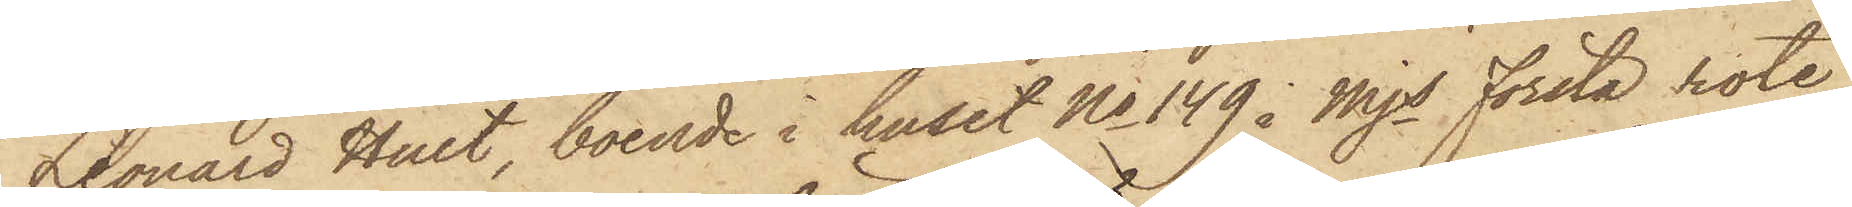Leonard Hult, boende i huset No 149 i Mjs Första rote,
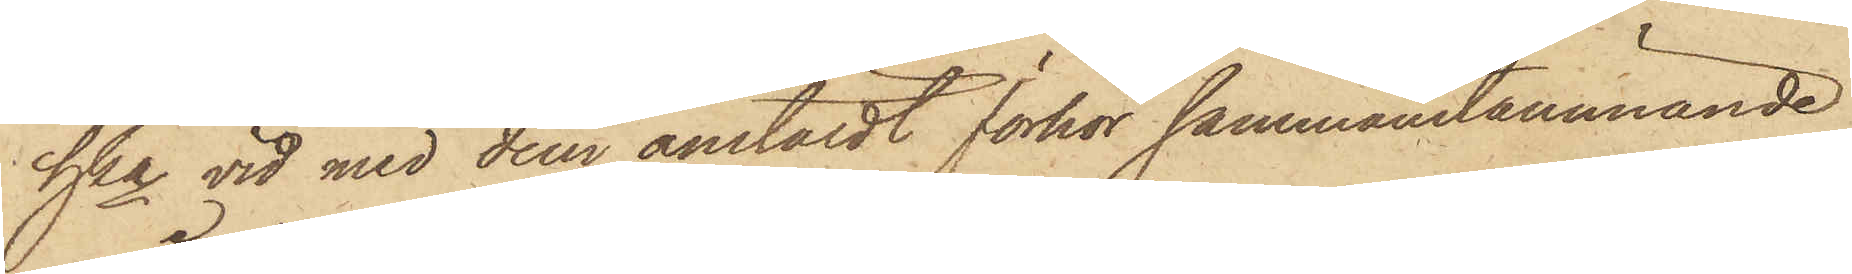hka vid med dem anstäldt förhör sammanstämmande
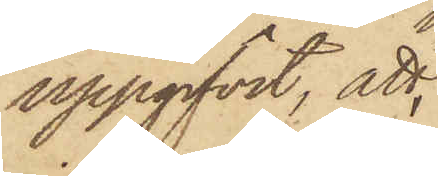uppgifvit, att,
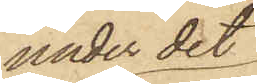under det
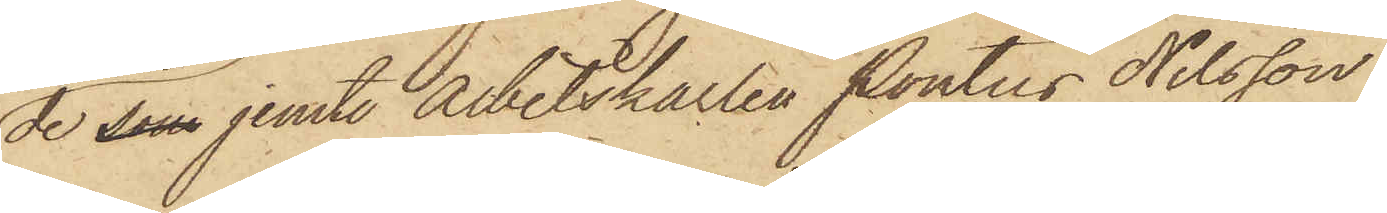de som jemte Arbetskarlen Pontus Nilsson
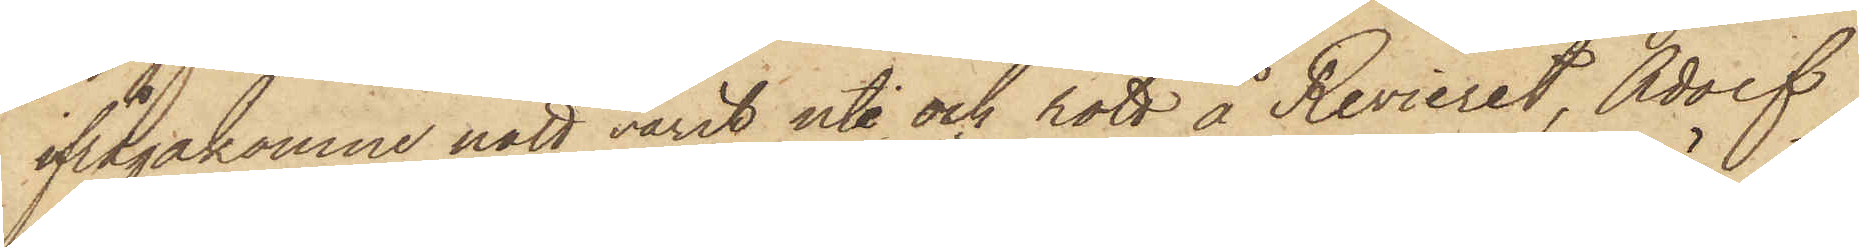ifrågakomne natt varit ute och rott å Revieret, Adolf
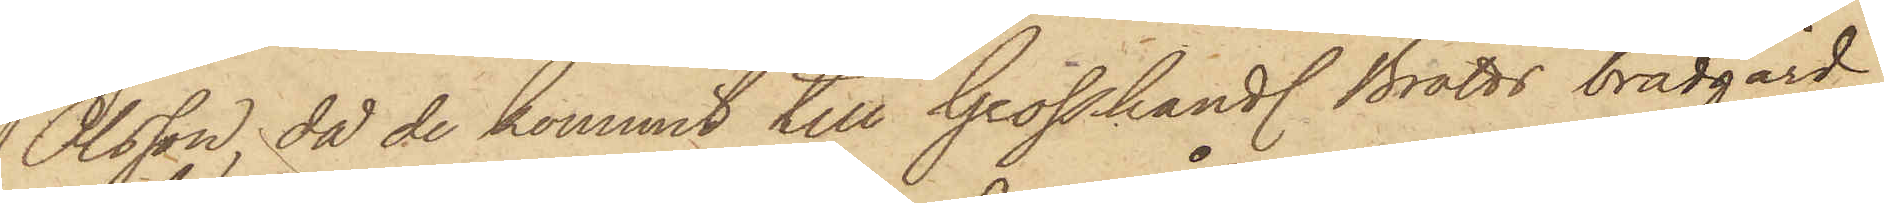Olsson, då de kommit till Grosshandl. Bratts brädgård,
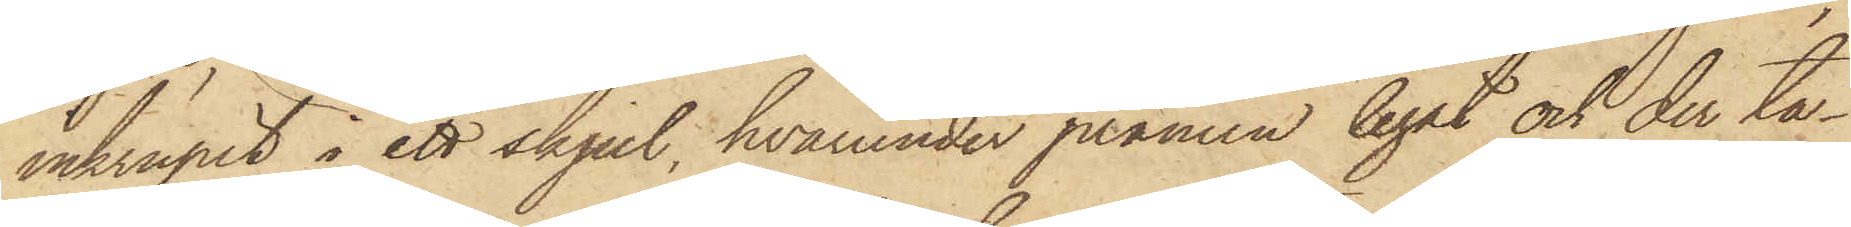inkrupit i ett skjul, hvarunder pråmen legat och der ta¬
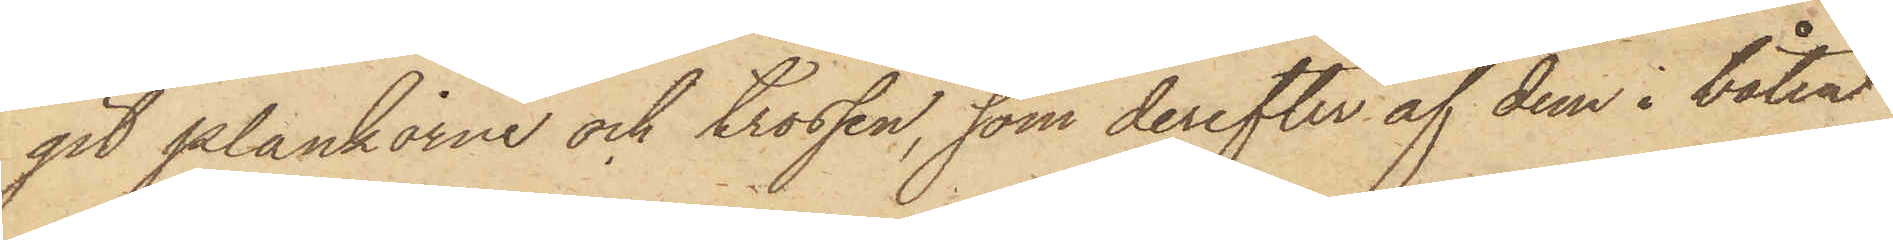git plankorne och trossen, som derefter af dem i båten
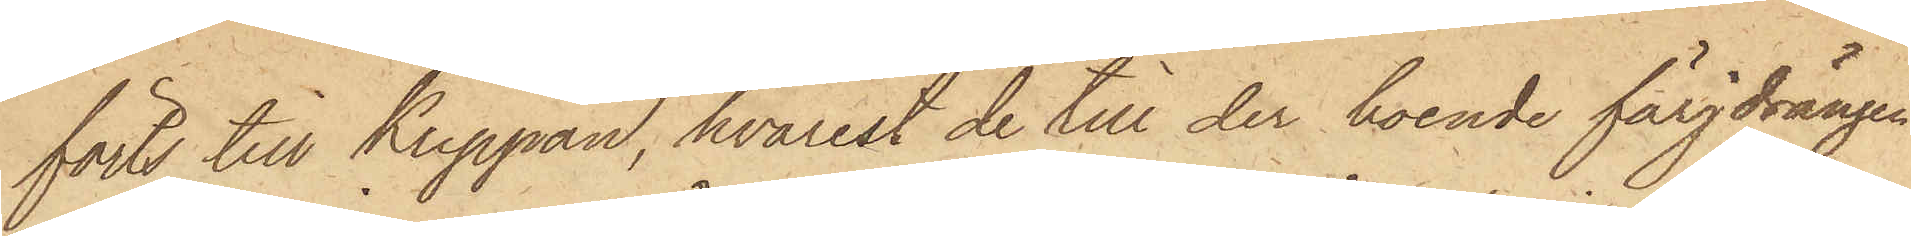förts till Klippan, hvarest de till der boende färjdrängen
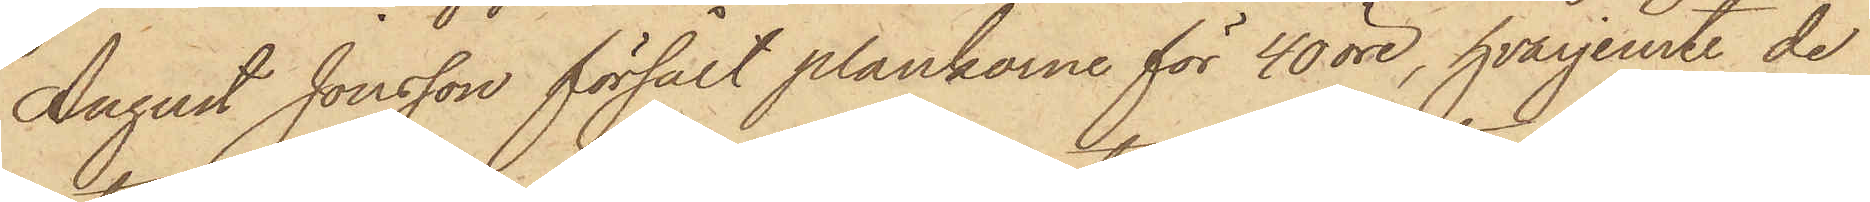August Jonsson försålt plankarne för 40 öre, hvarjemte de
